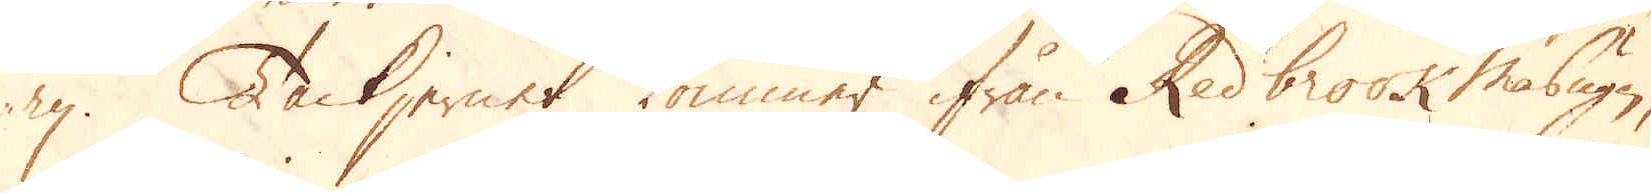ry. Tackjernet kommer ifrån Redbrook Masugn,
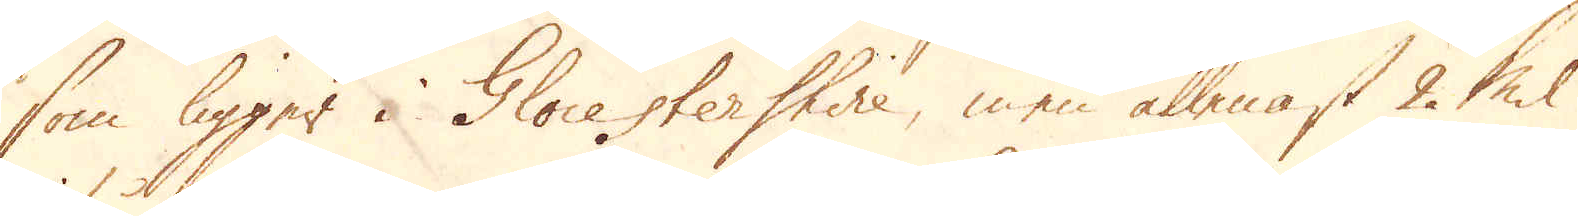som ligger i Glocestershire, men allenast 2 Mil
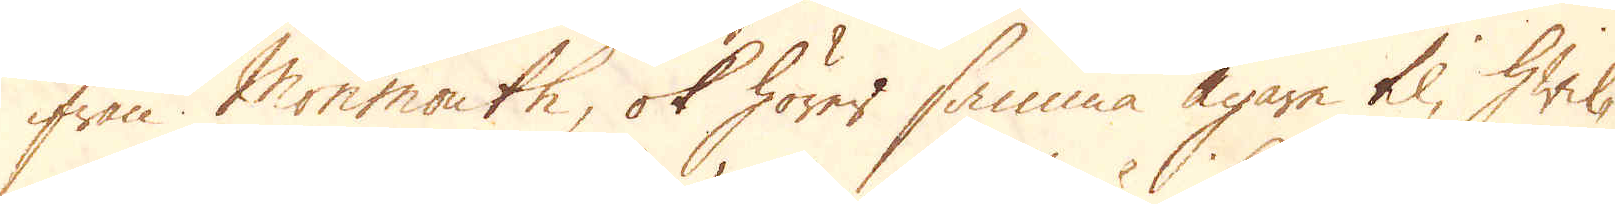ifrån Monmouth, ok hörer samma Ägare til, hwil-
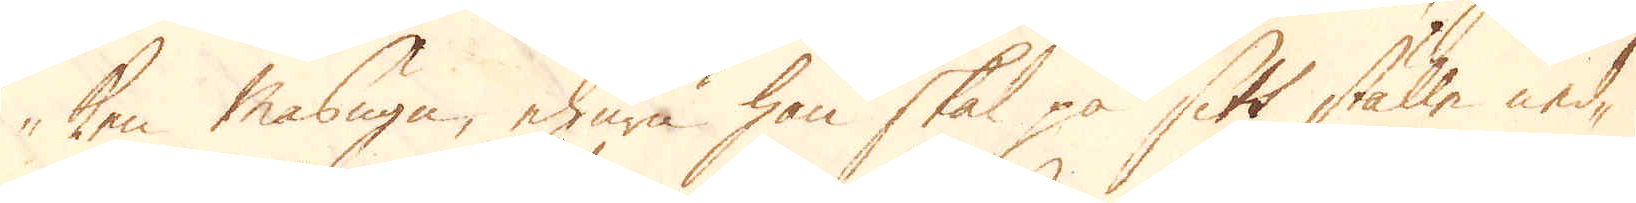ken Masugn, ehuru hon skal på sitt ställe ned-
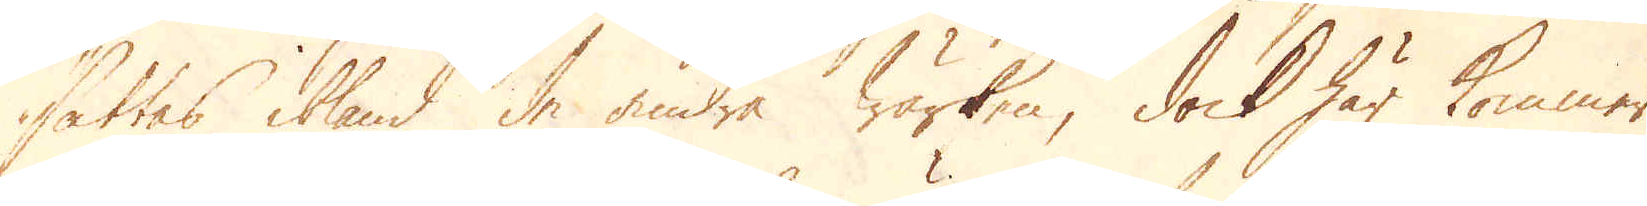sättes ibland de andra Wärken, dock här kommer
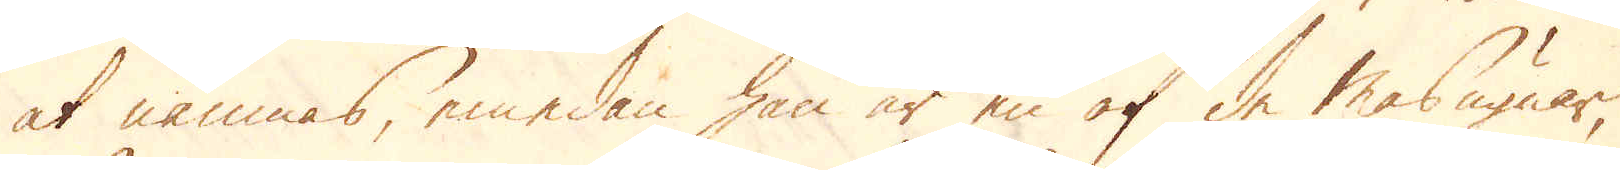at nämnas, emedan hon är en af de Masugnar,
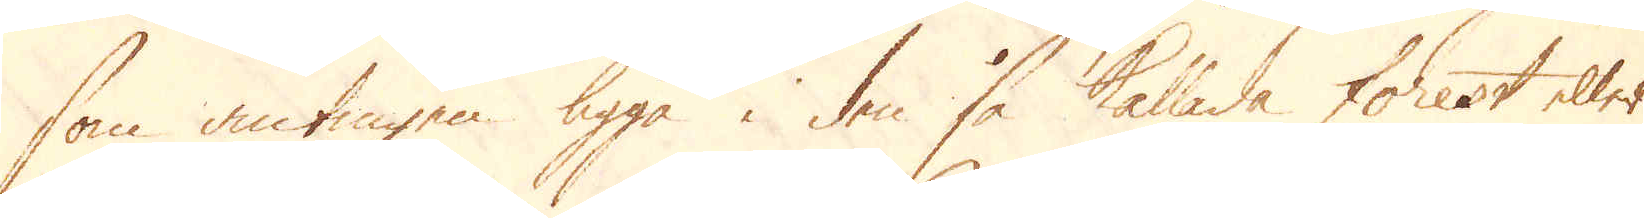som antingen ligga i den så kallade Forest eller
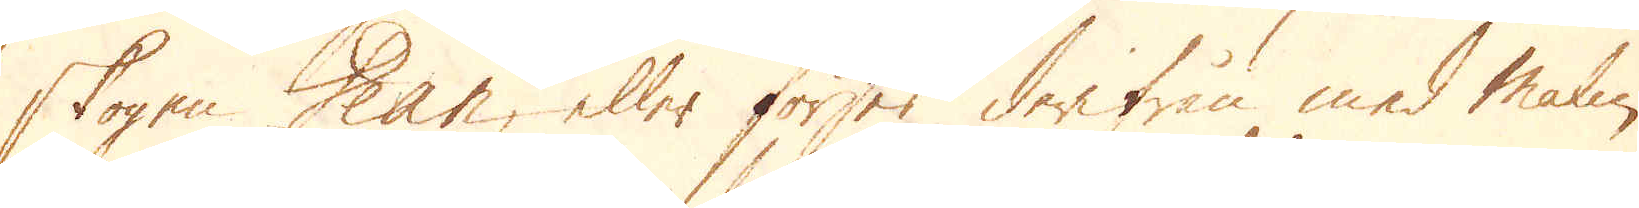skogen Dean, eller förses derifrån med Malm,
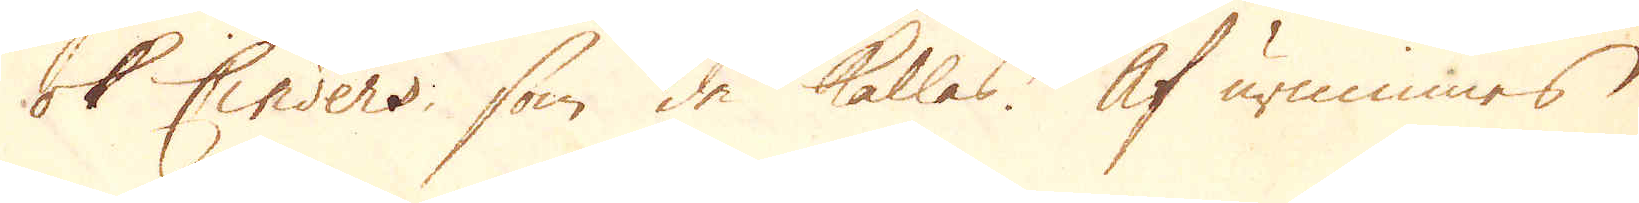ok Cinders, som de kallas. Af urminnes
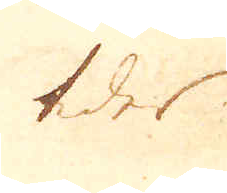tider
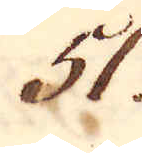51.
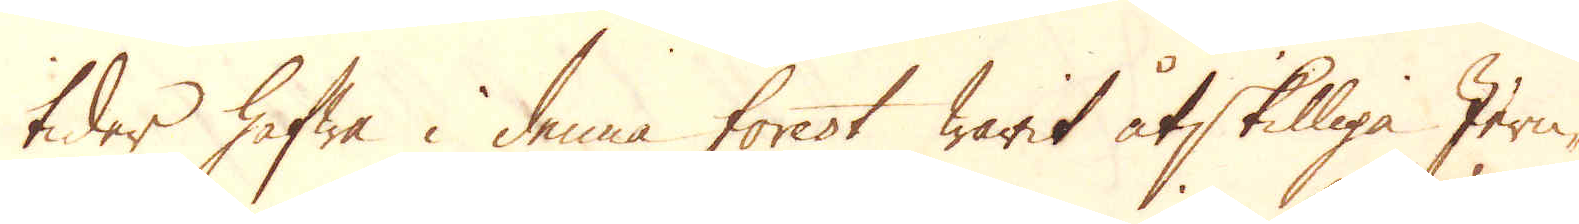tider hafwa i denna forest warit åtskilliga Jern-
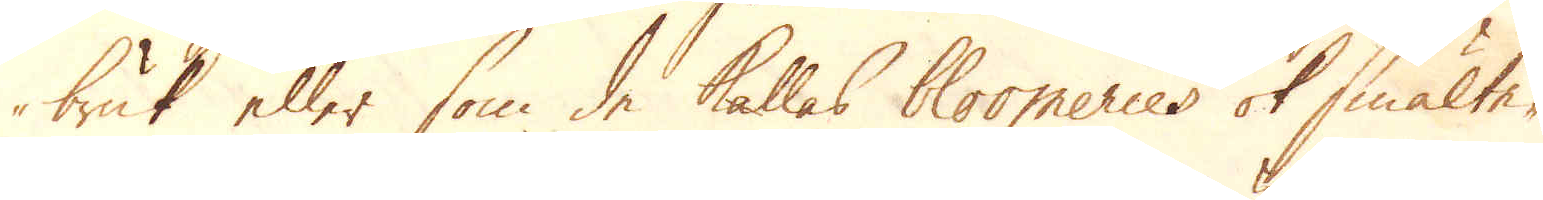bruk eler som de kallas bloomeries ok smälte-
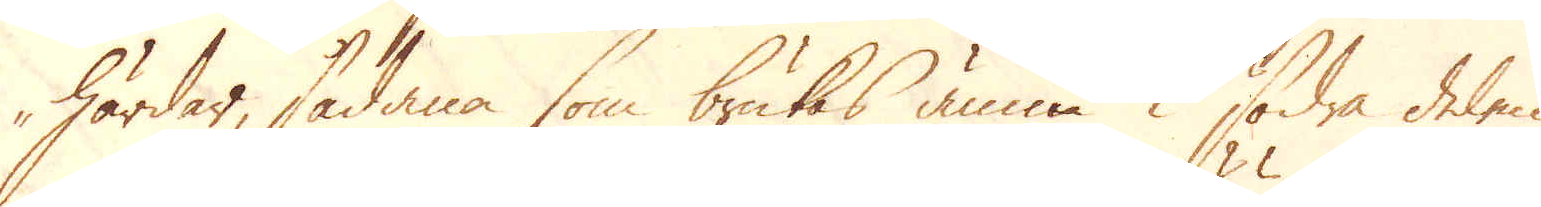härdar, sådana som brukas ännu i södra delen
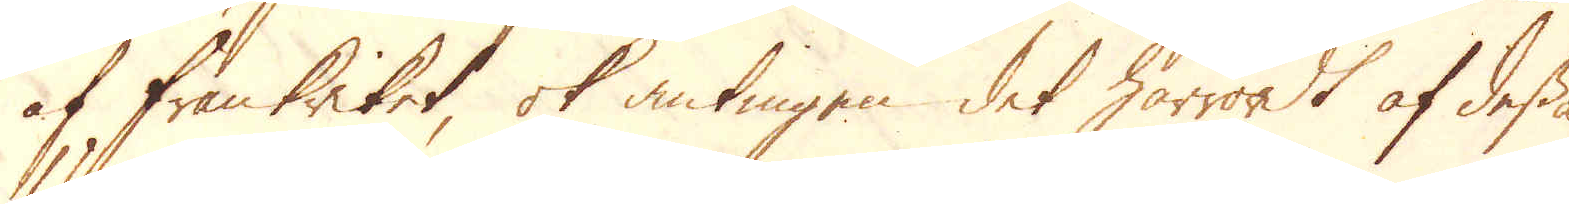af Frankriket, ok antingen det härröredt af dessa
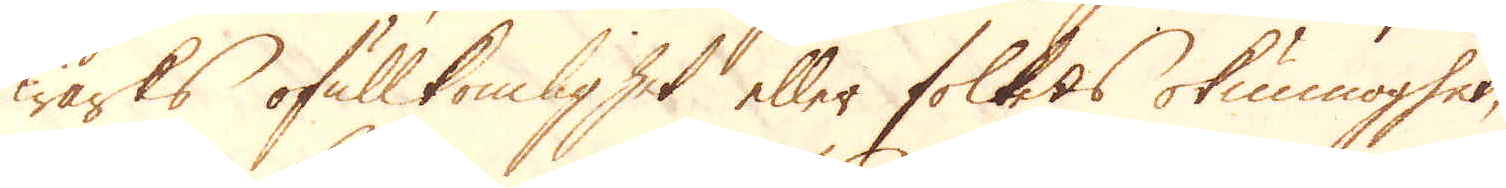Wärks ofullkomlighet eller folkets okunnoghet,
